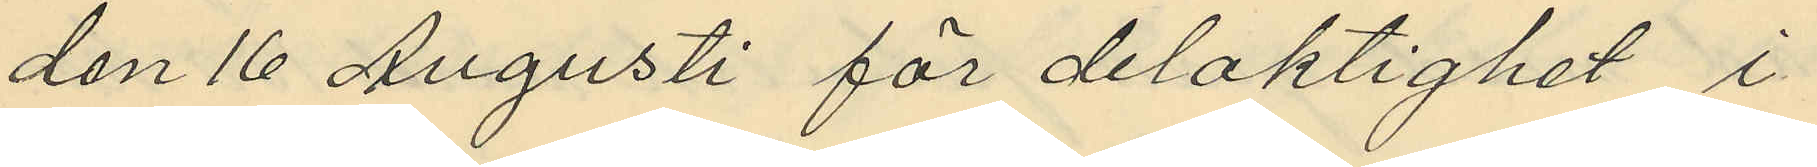den 16 Augusti för delaktighet i
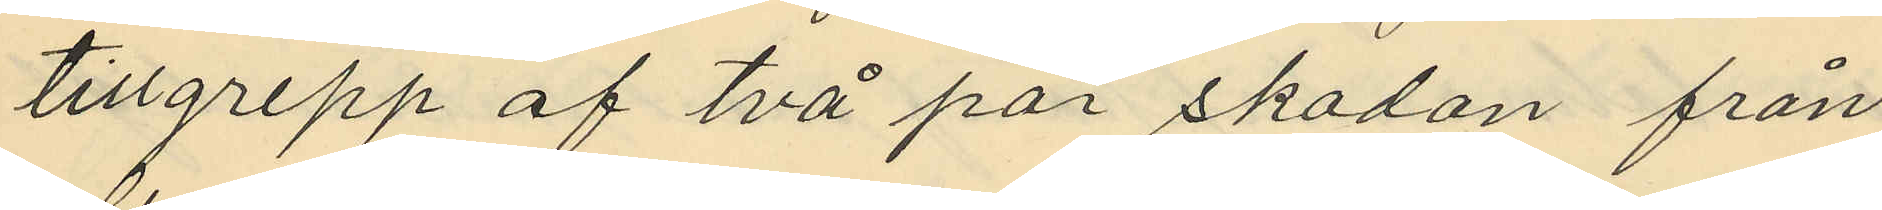tillgrepp af två par skodon från
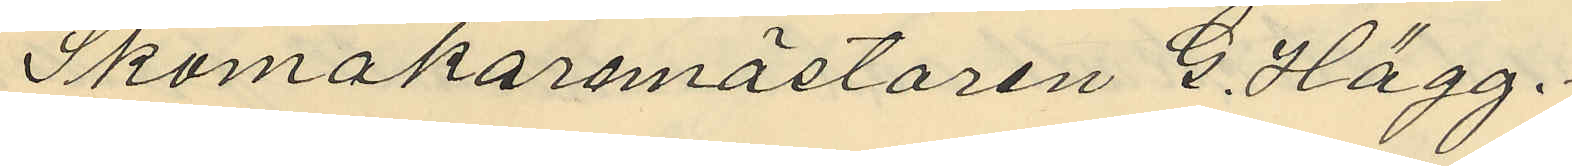Skomakaremästaren G. Hägg.
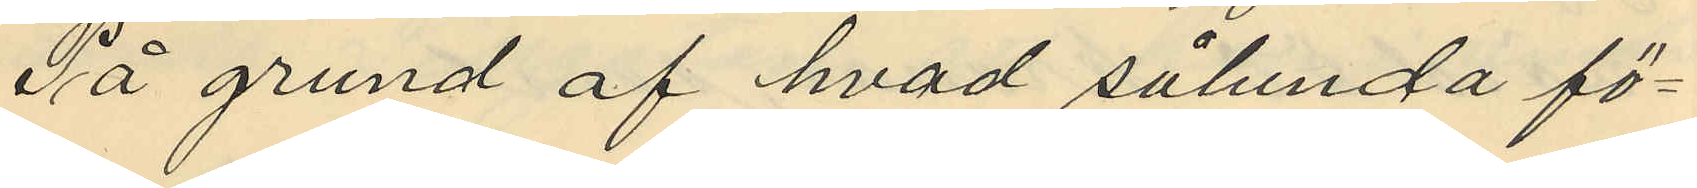På grund af hvad sålunda fö¬
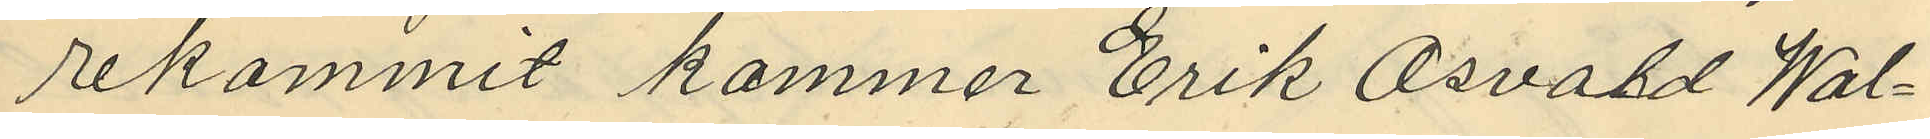rekommit kommer Erik Osvard Wal¬
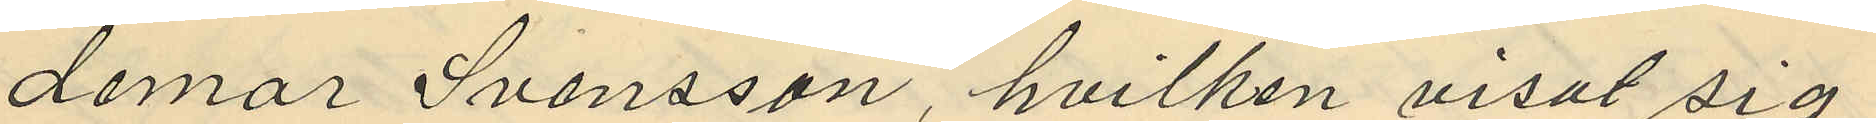demar Svensson, hvilken visat sig
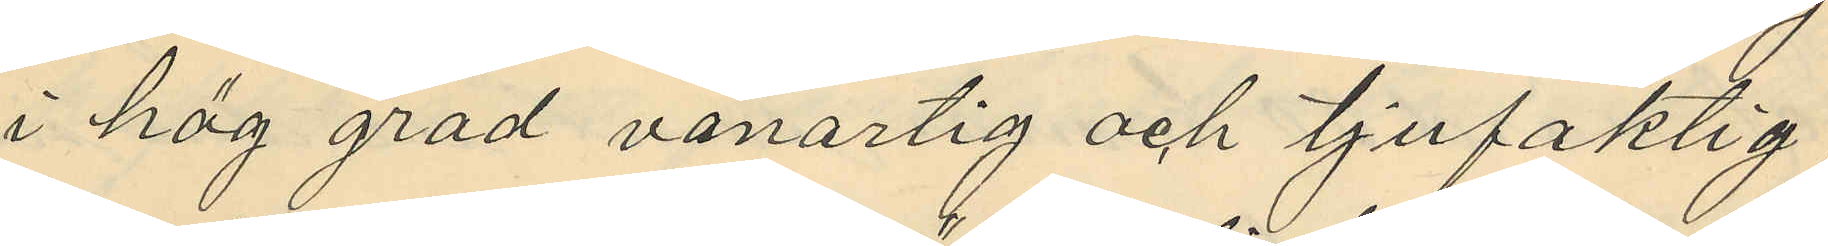i hög gröd vanartig och tjufaktig
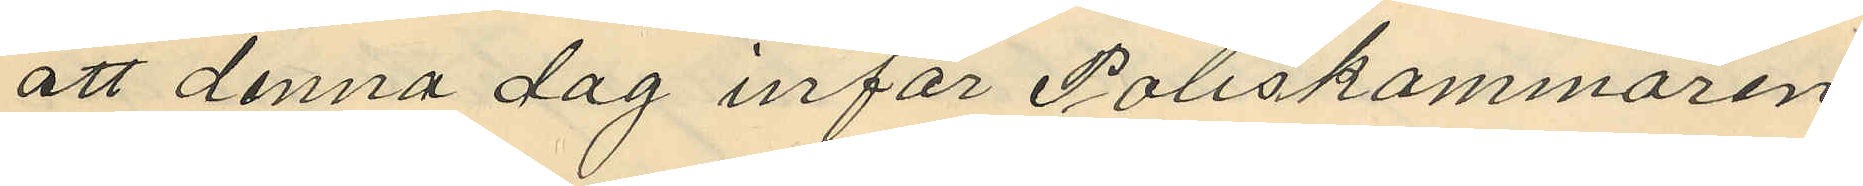att denna dag inför Poliskammaren
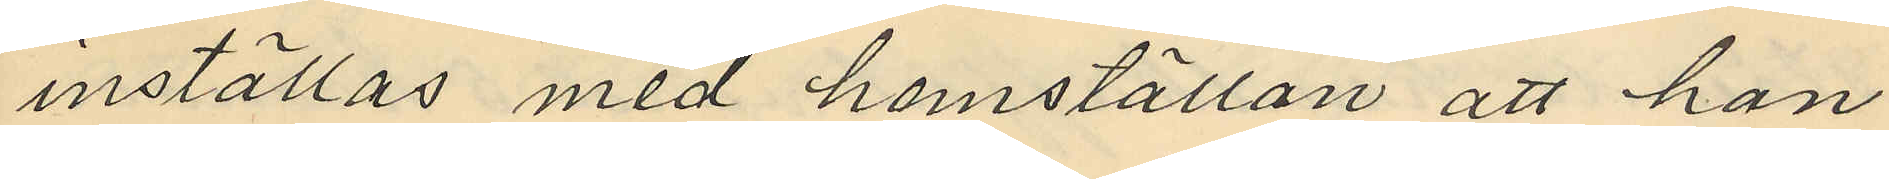inställas med hemställan att han
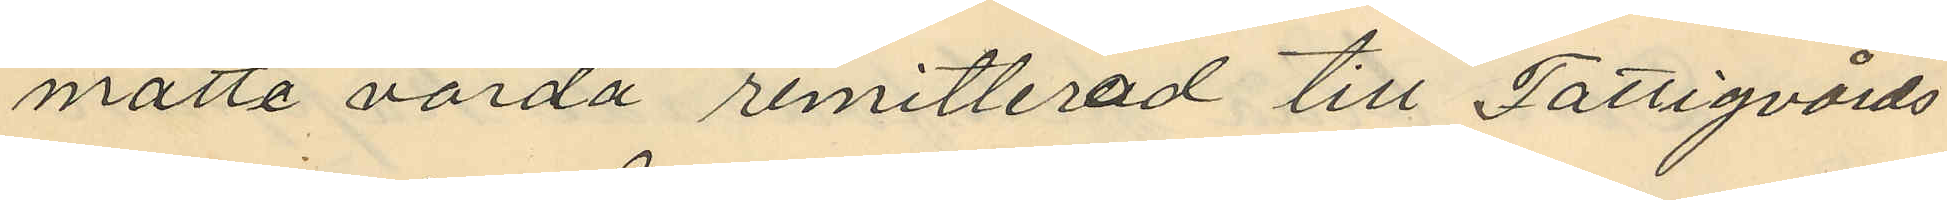måtte varda remitterad till Fattigvårds¬
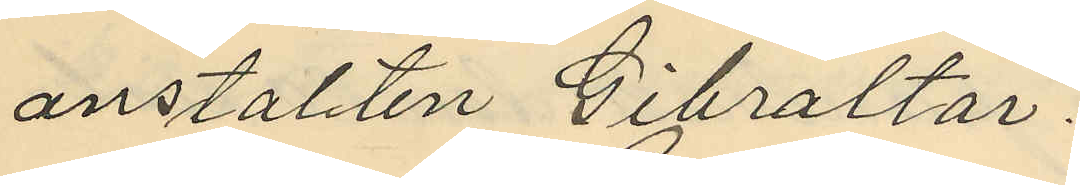anstallten Gibraltar.
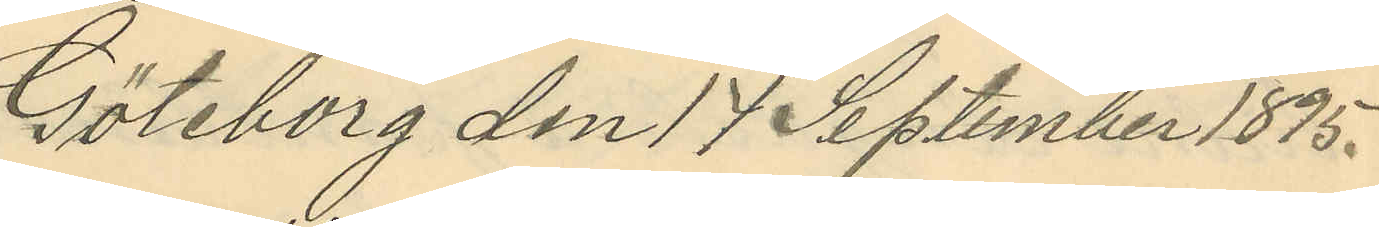Göteborg den 17 September 1895.
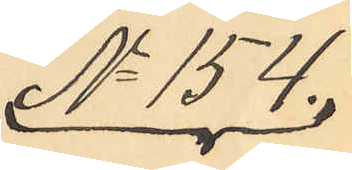No 154.
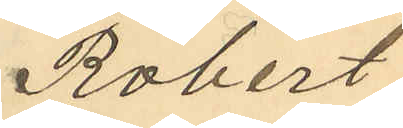Robert
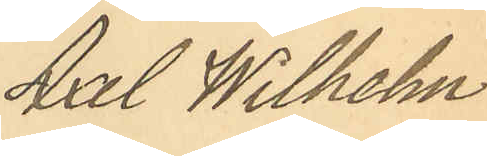Axel Wilhelm
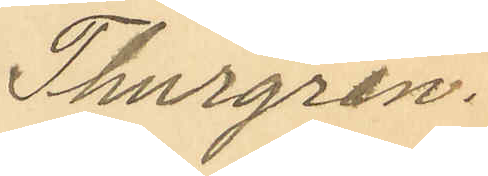Thurgren.
